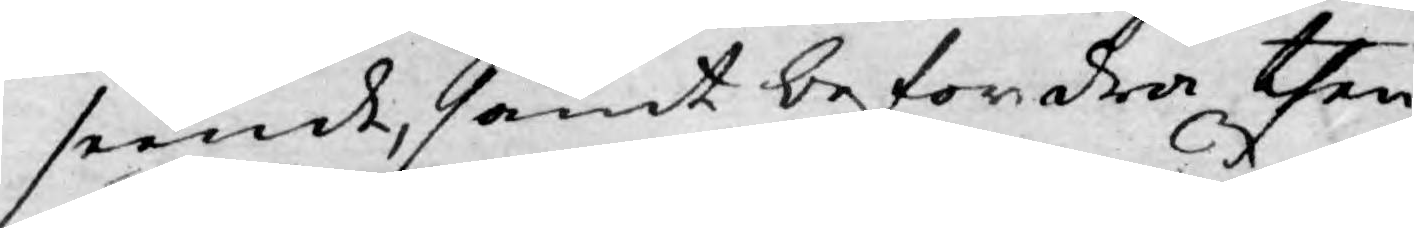seende, samt befordra then
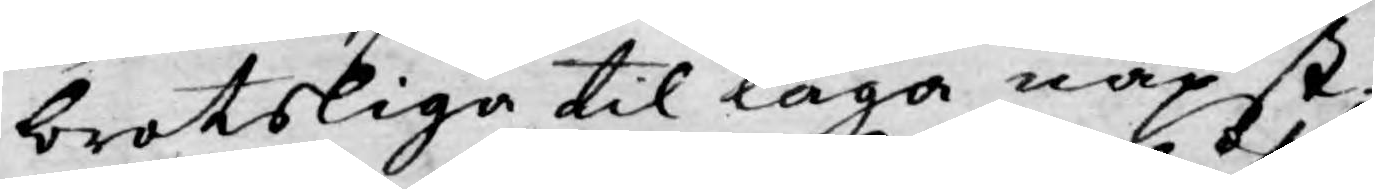brotsliga til laga näpst,
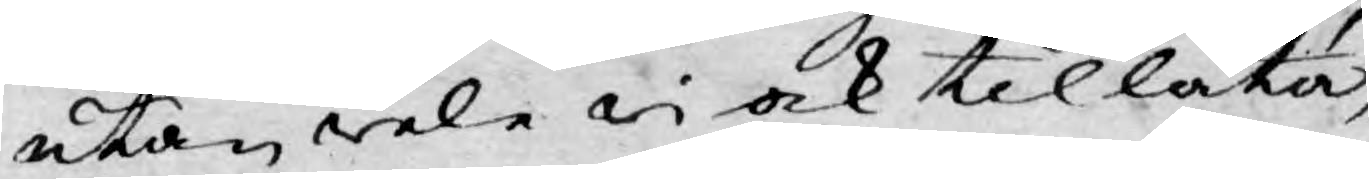utan wele wi ock tillåta,
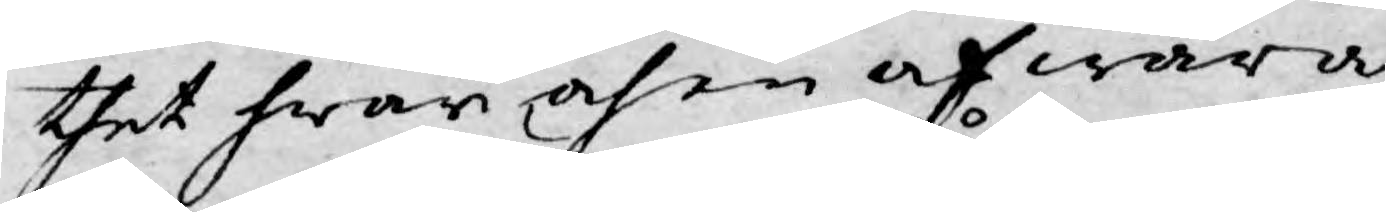thet hwar och en af wåra
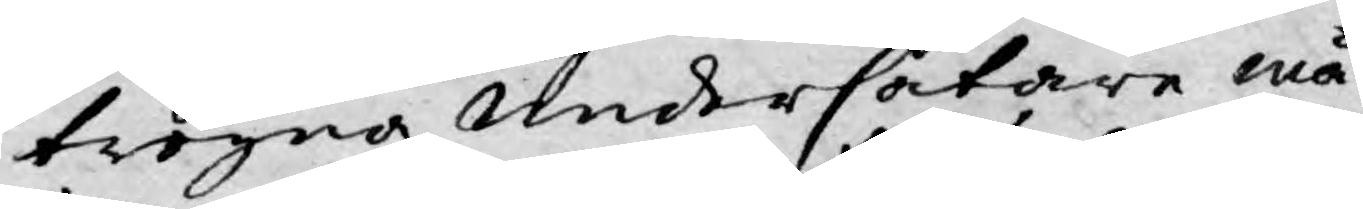trogna undersåtare må
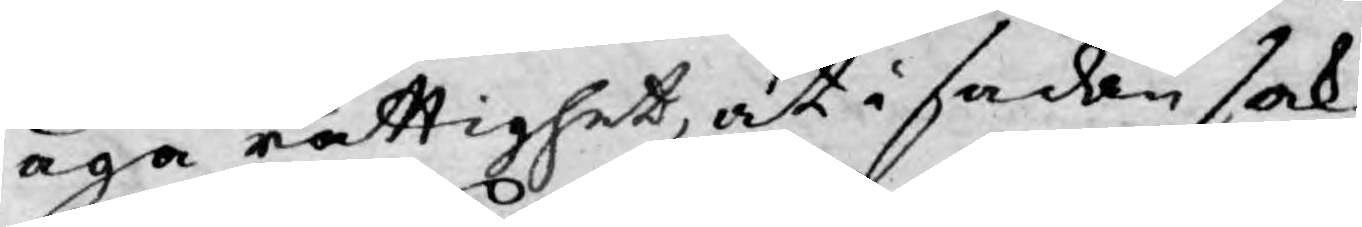äga rättighet, at i sadan sak,
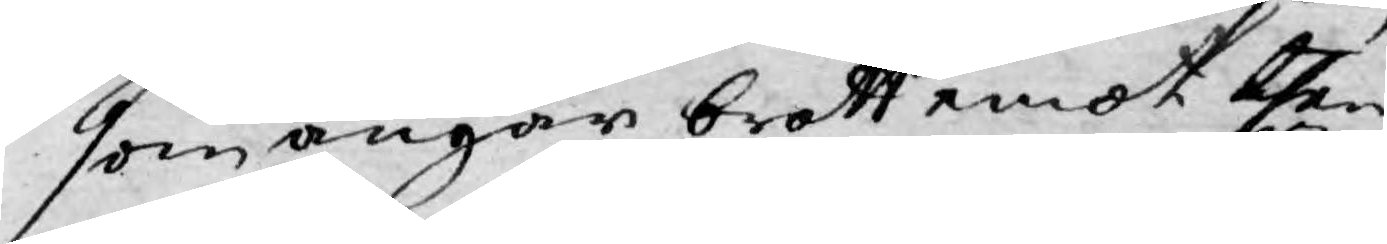som angår brott emot then¬
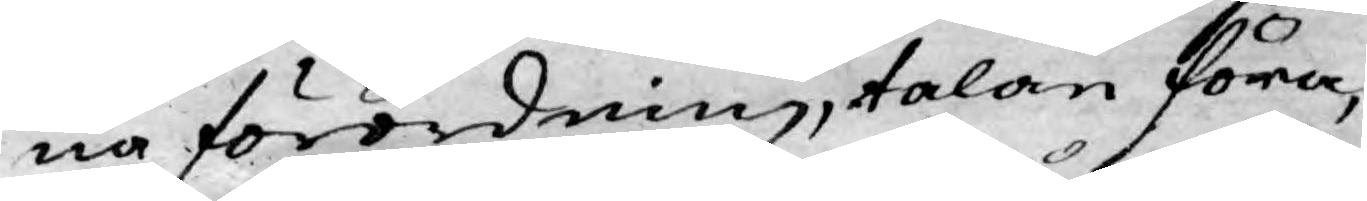na förordning, talan föra,
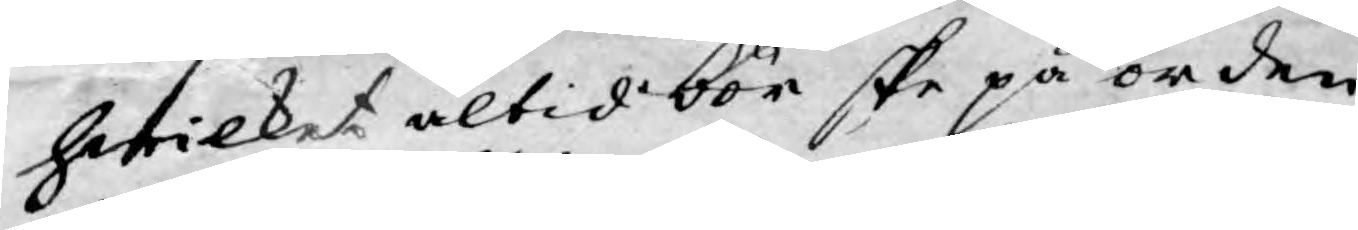hwilket altid bör ske på orden¬
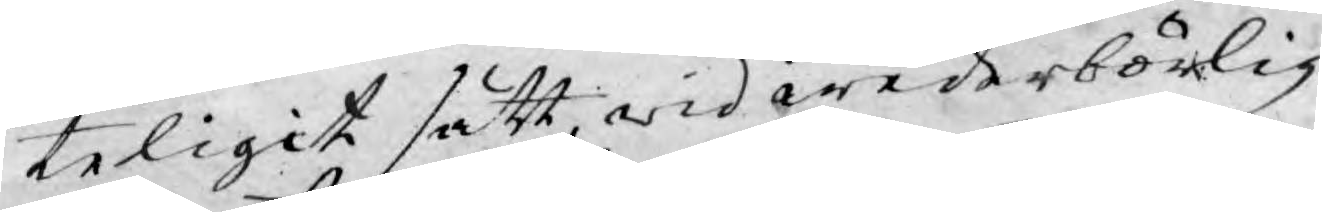teligit sätt wid wederbörlig
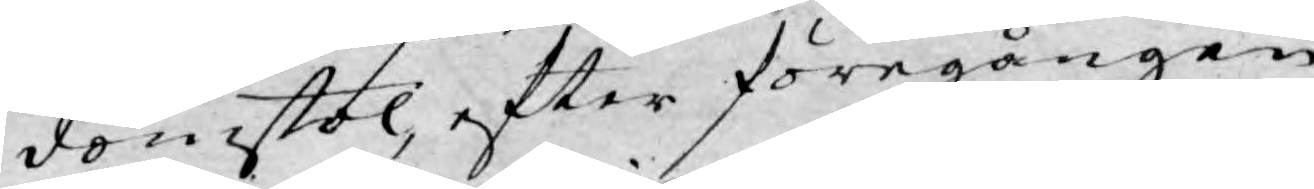domstol, efter föregången
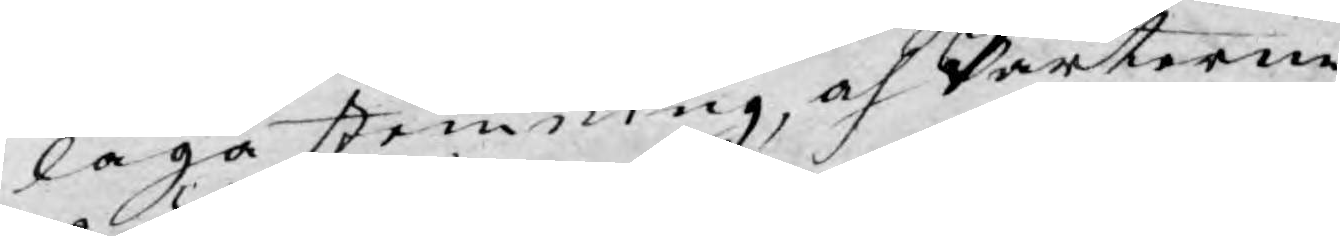laga stemning och Parterne
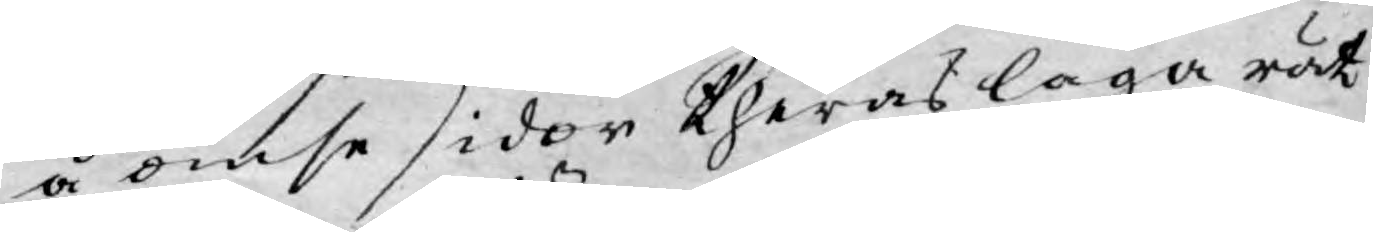å ömse sidor theras laga rät¬
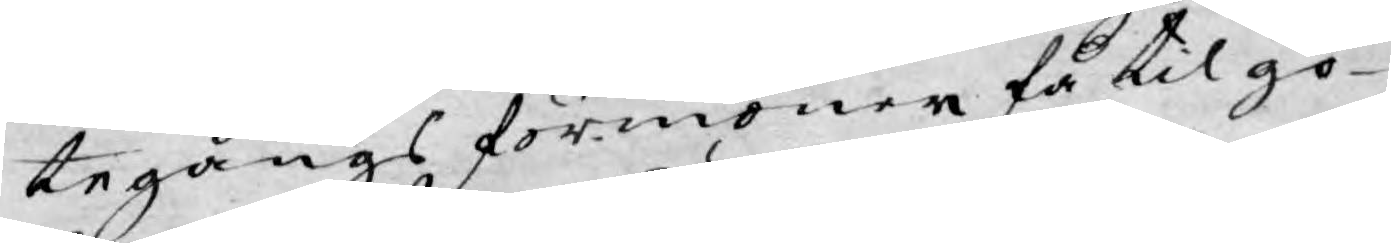tegångs förmoner få til go¬
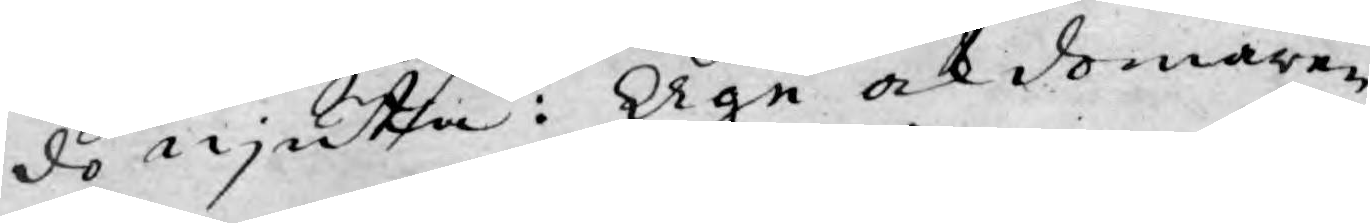do njuta: Äge ock domaren
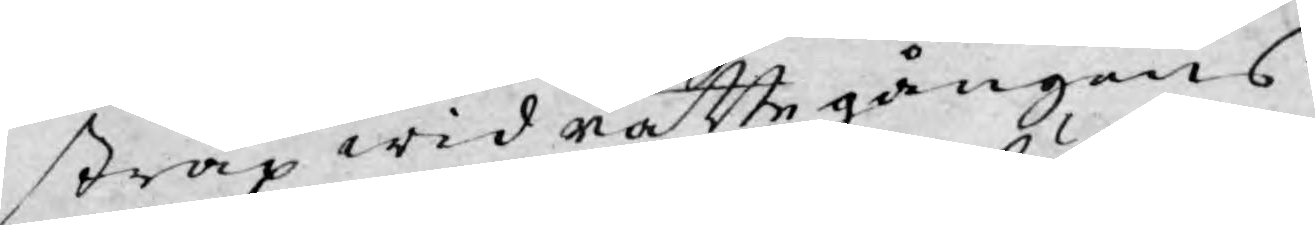strax wid rättegångens
